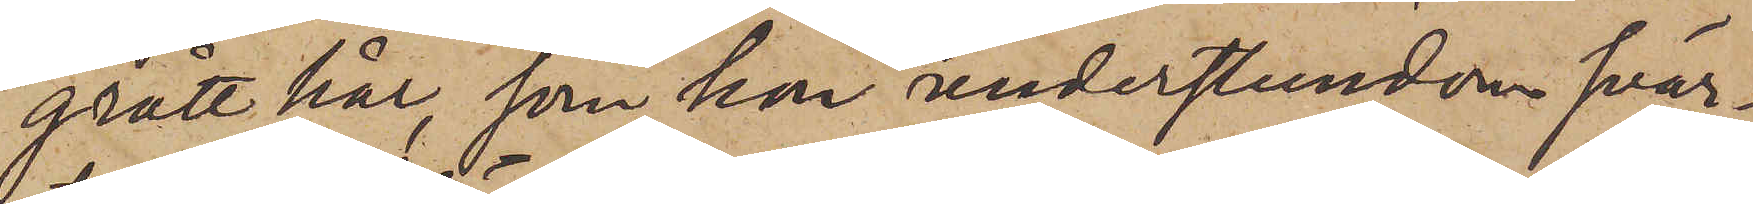grått hår, som hon understundom svär¬
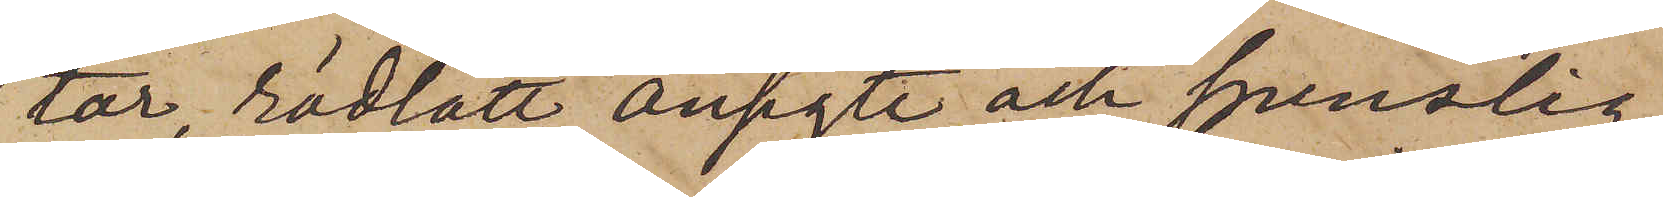tar, rödlätt ansigte och spenslig
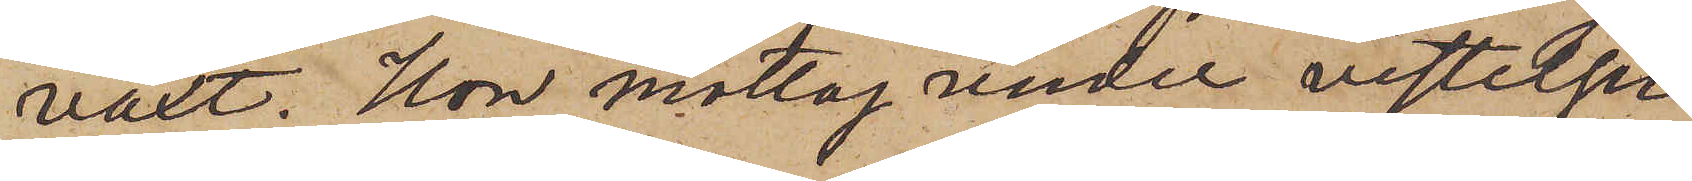växt. Hon mottog under vistelsen
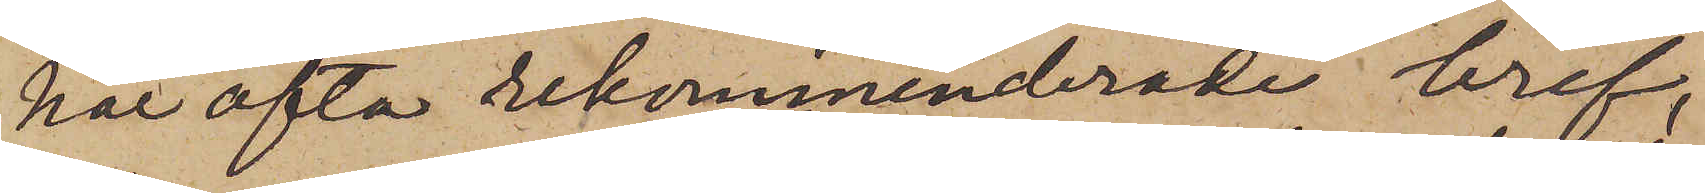här ofta rekommenderade bref,
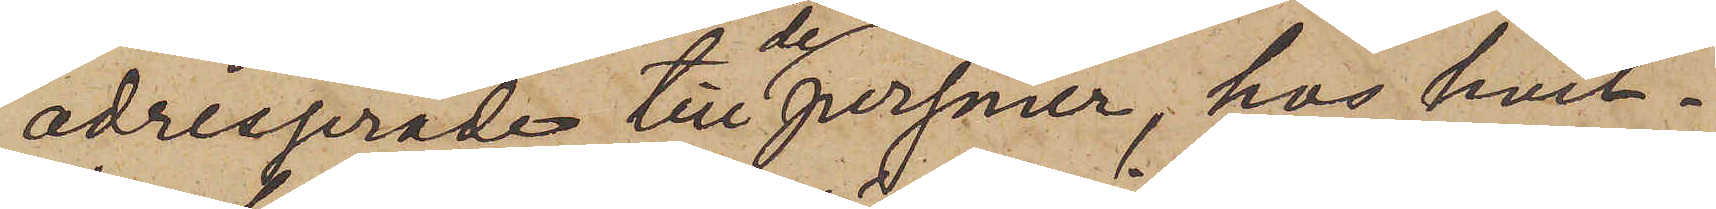adresserade till personer, hos hvil¬
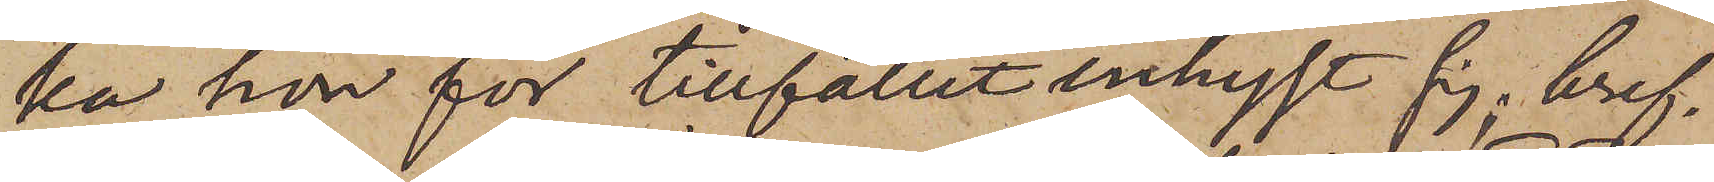ka hon för tillfället inhyst sig, bref¬
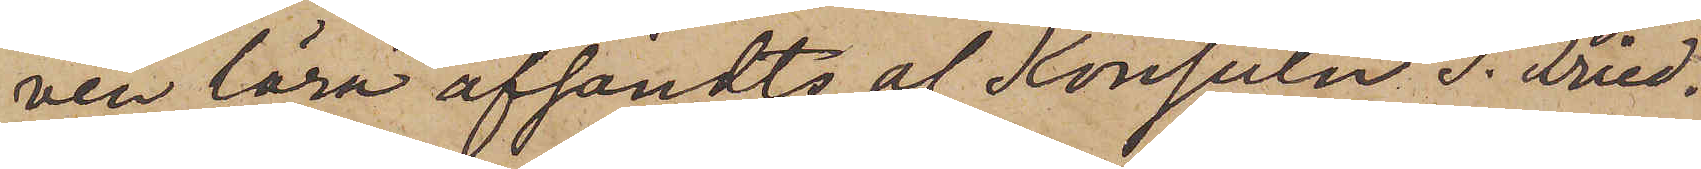ven lära afsändts af Konsuln T. Fried¬
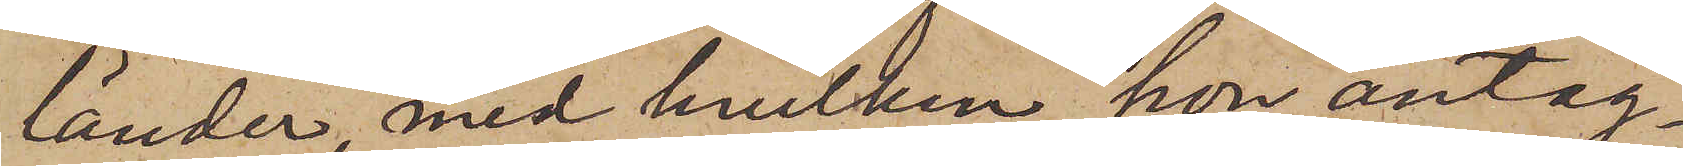länder, med hvilken hon antag¬
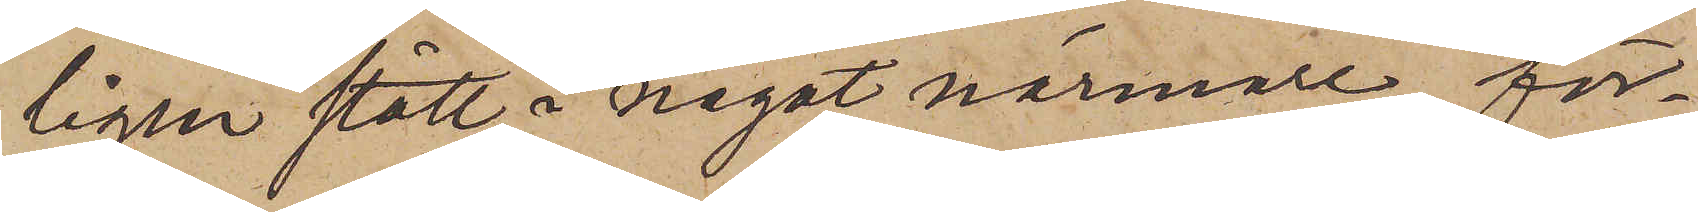ligen stått i något närmare för¬
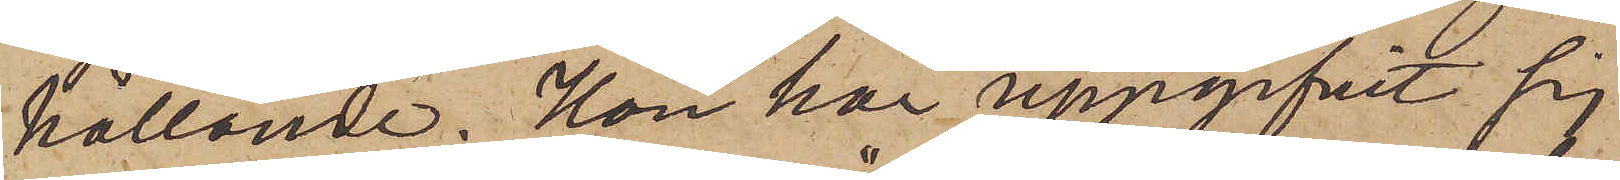hållande. Hon har uppgifvit sig
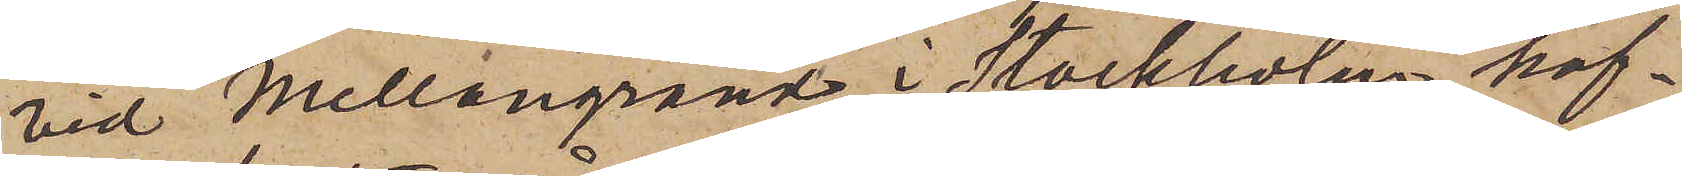vid "Mellangränd" i Stockholm haf¬
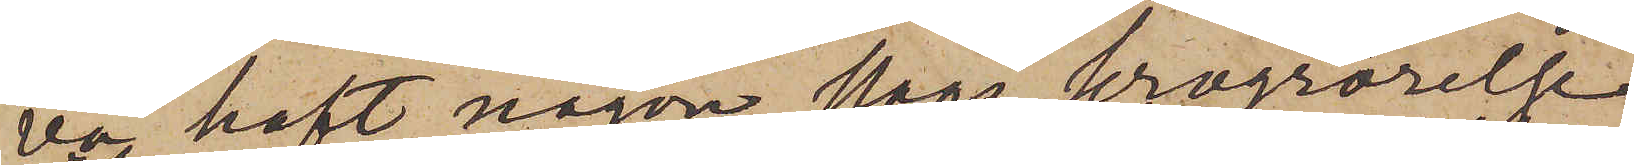va haft någon slags krogrörelse,
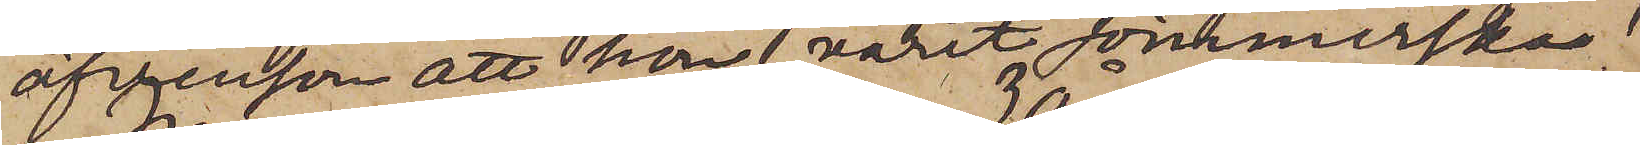äfvensom att hon varit sömmerska.
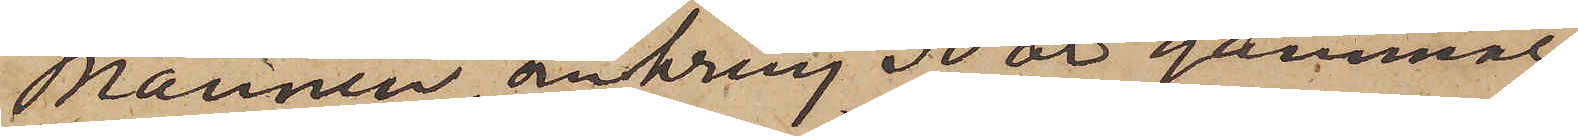Mannen, omkring 30 år gammal,
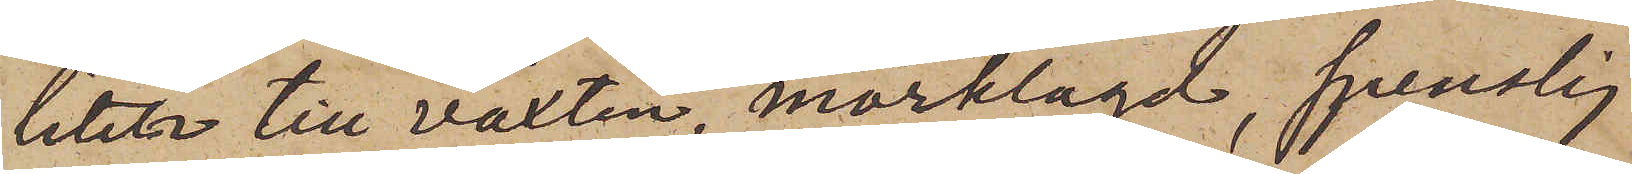liten till växten, mörklagd, spenslig
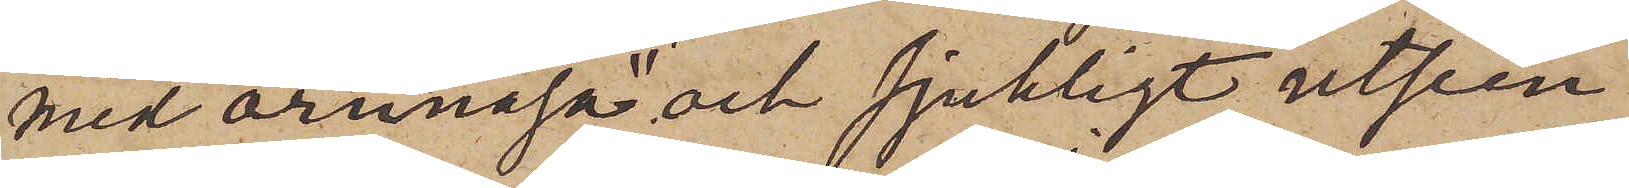med "örnnäsa" och sjukligt utseen¬
